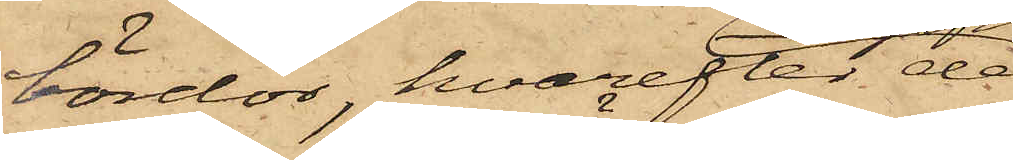bördor, hvarefter de
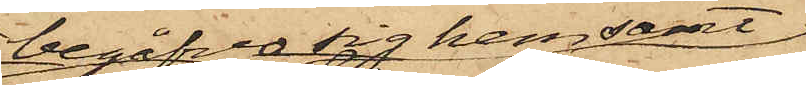begåfvo sig hem samt
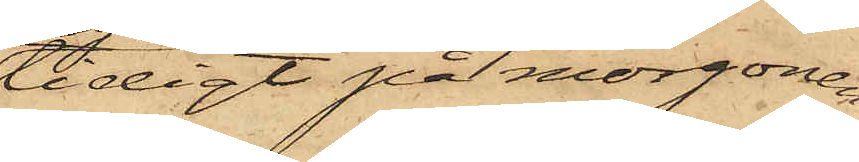tidigt på morgonen
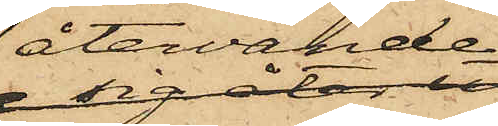återvände
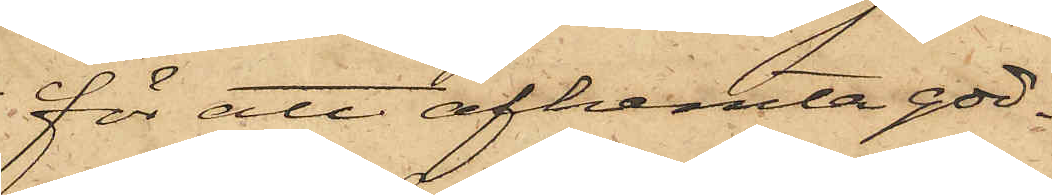för att afhemta god¬
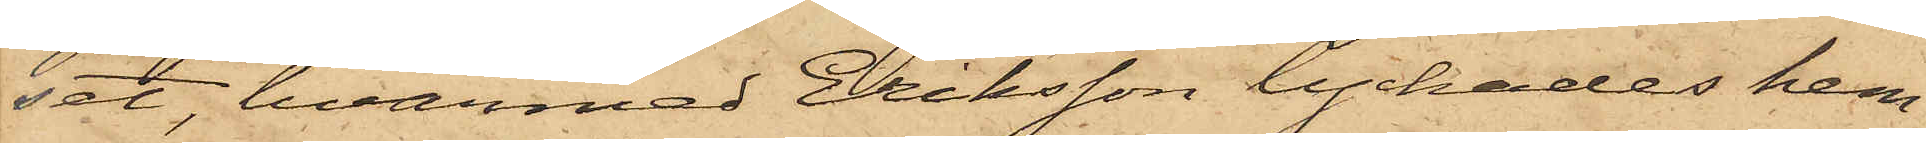set, hvarmed Eriksson lyckades hem¬
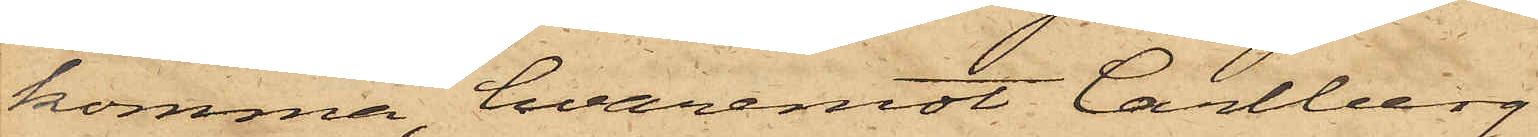komma, hvaremot Carlberg
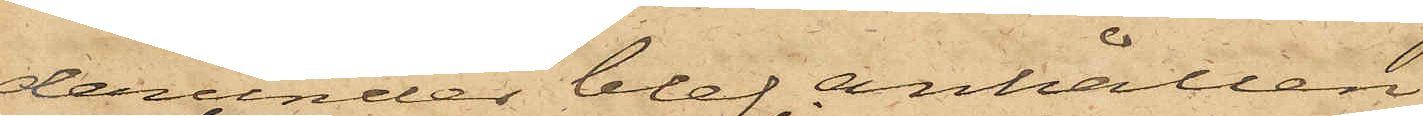derunder blef anhållen.
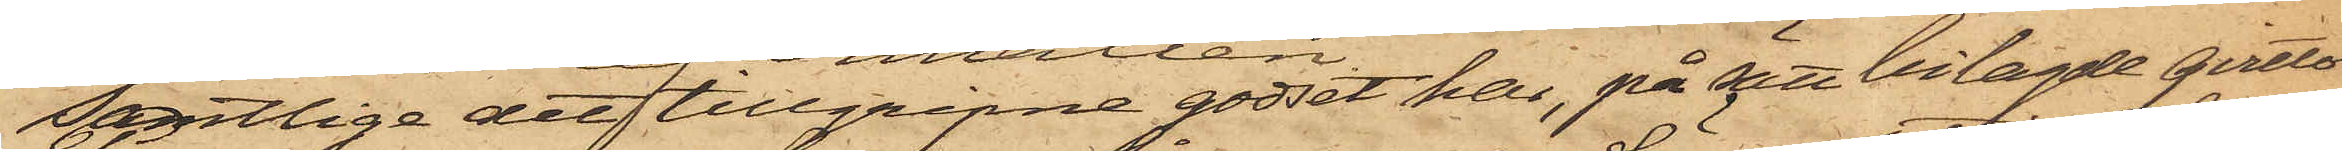Samtlige det tillgripne godset har, på sätt bilagde qvitto
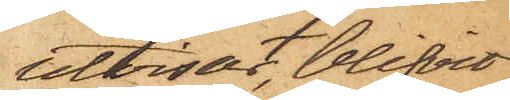utvisar, blifvit
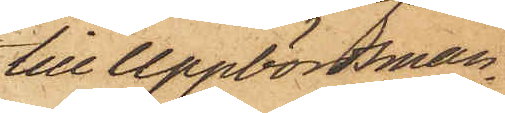till Uppbördsman¬
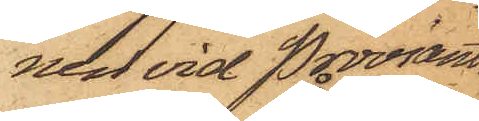nen vid Proviant¬
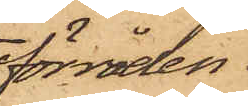förråden
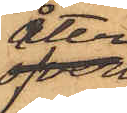åter¬
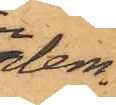lem¬
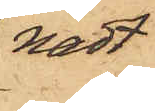nadt.
